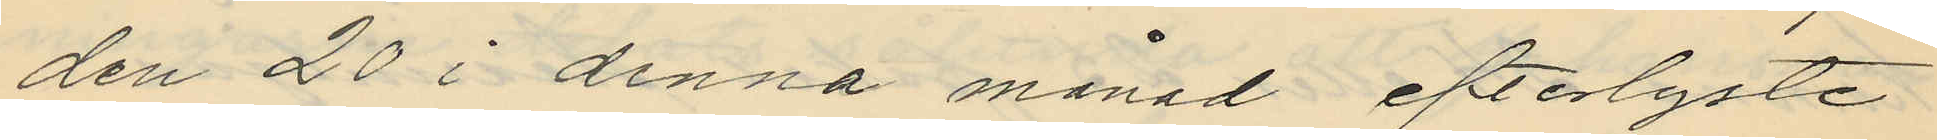den 20 i denna månad efterlyste
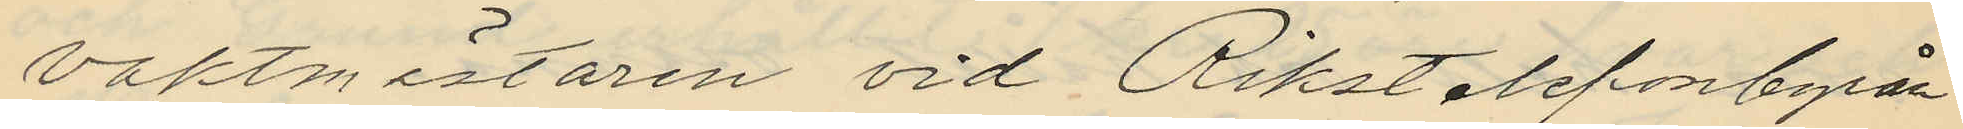vaktmästaren vid Rikstelefonbyrån
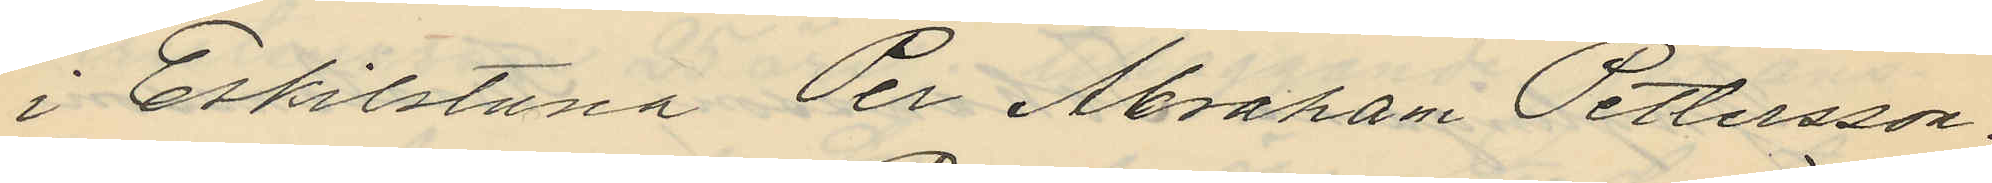i Eskilstuna Per Abraham Pettersson.
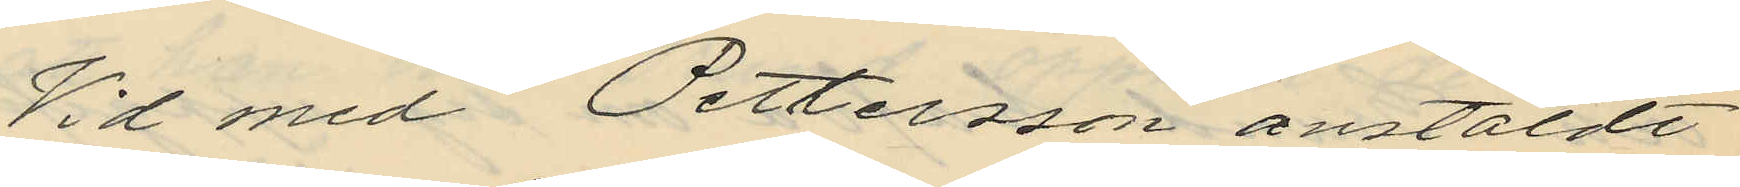Vid med Pettersson anstäldt
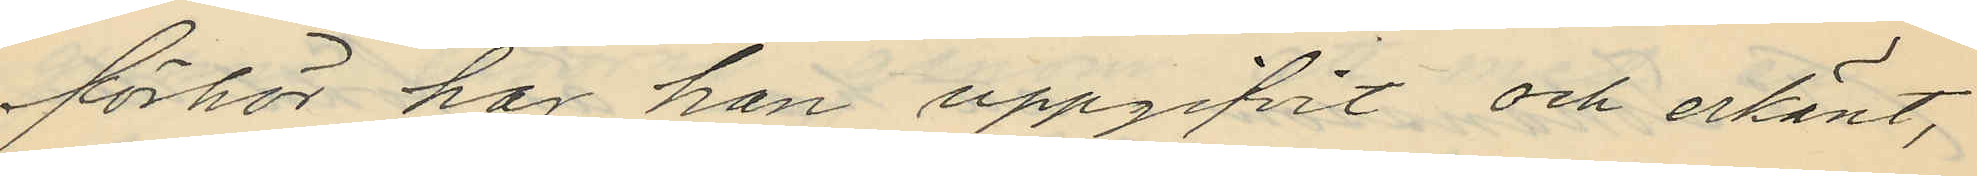förhör har han uppgifvit och erkänt,
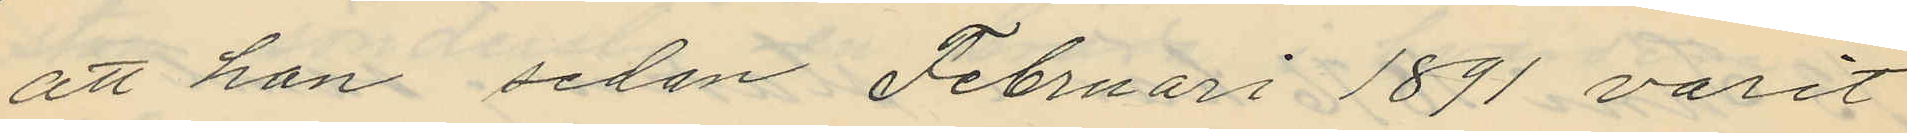att han sedan Februari 1891 varit
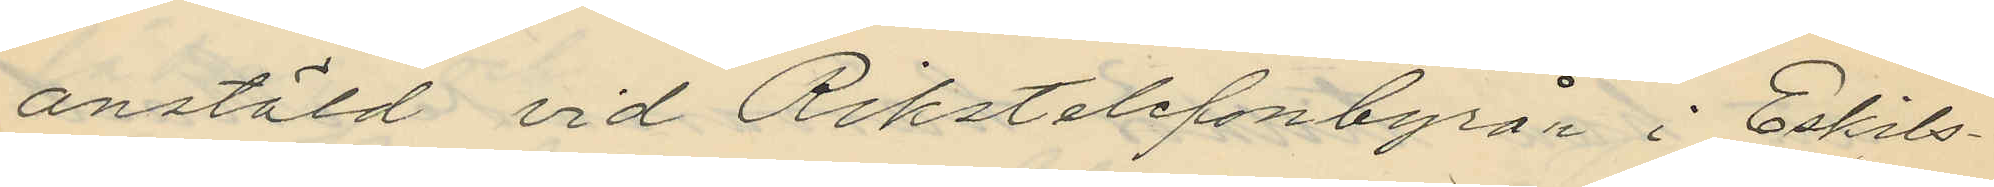anstäld vid Rikstelefonbyrån i Eskils¬
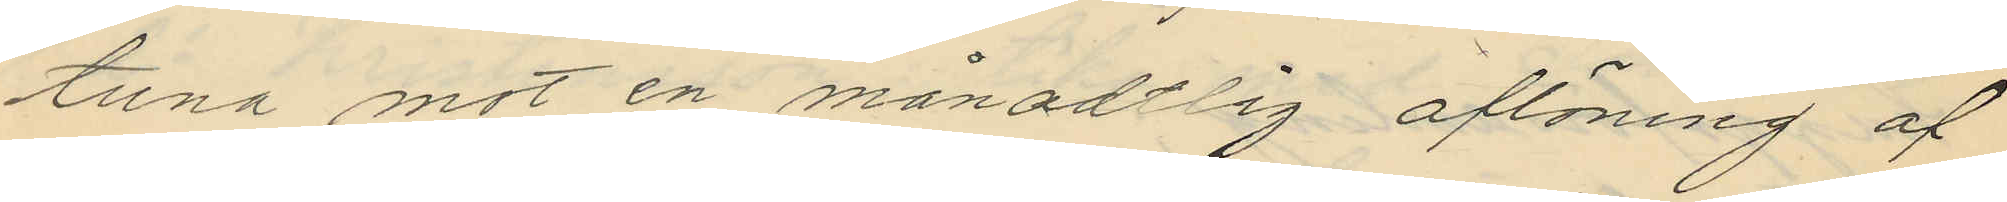tuna mot en månadtlig aftöning af
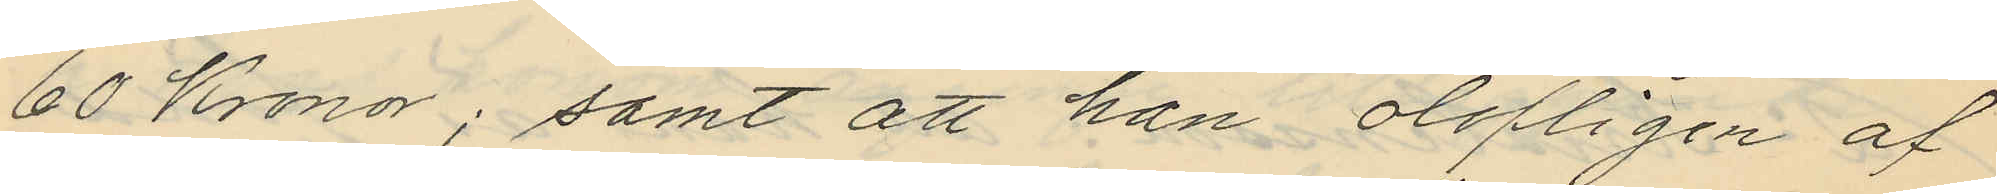60 Kronor; samt att han olofligen af
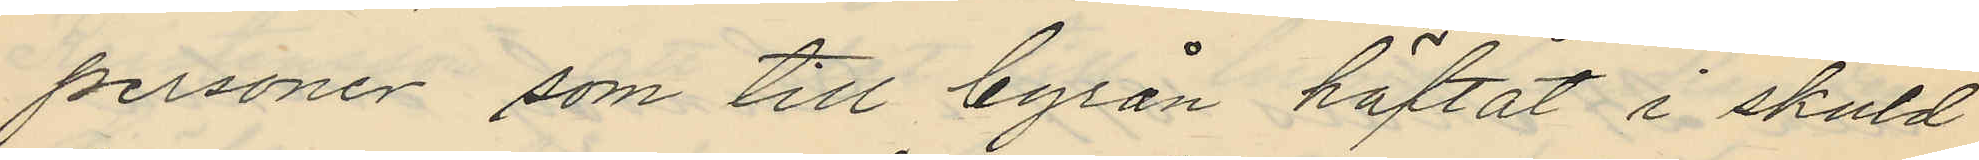personer som till byrån häftat i skuld
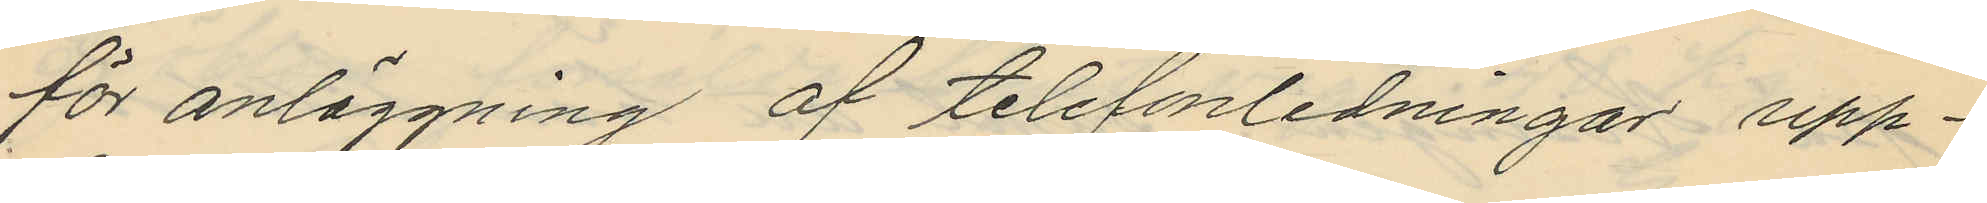för anläggning af telefanledningar upp¬
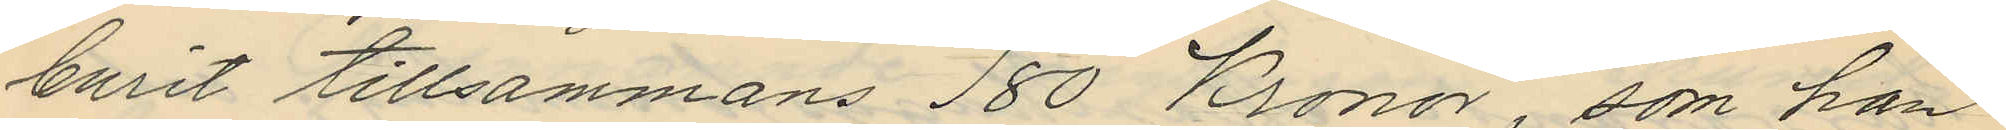burit tillsammans 180 Kronor, som han
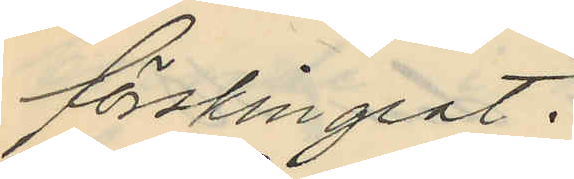förskingrat.
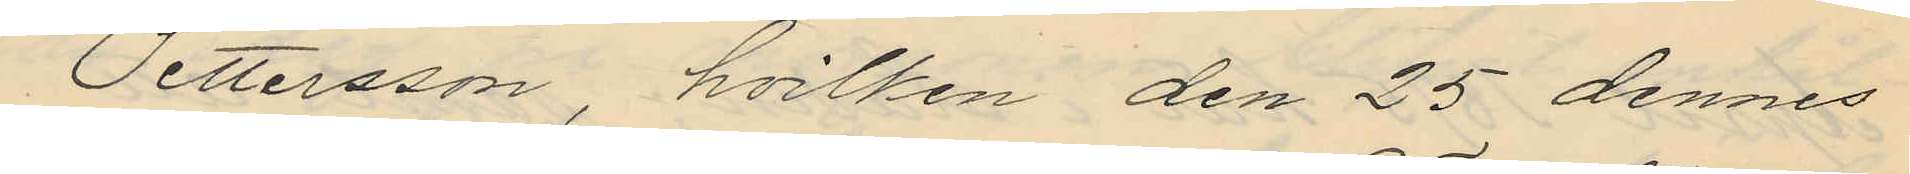Pettersson, hvilken den 25 dennes
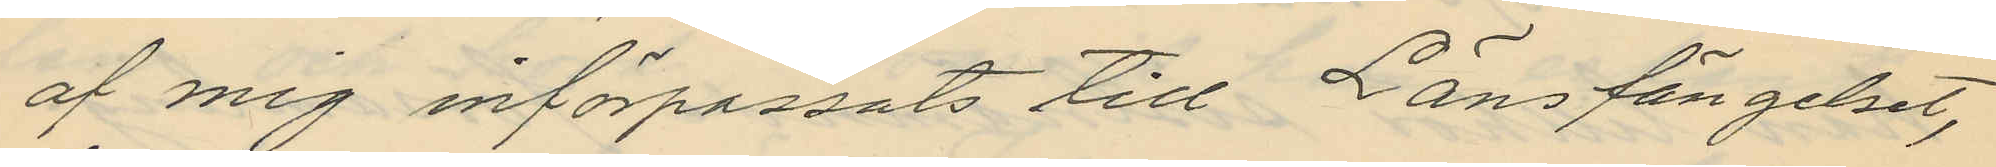af mig införpassats till Länsfängelset,
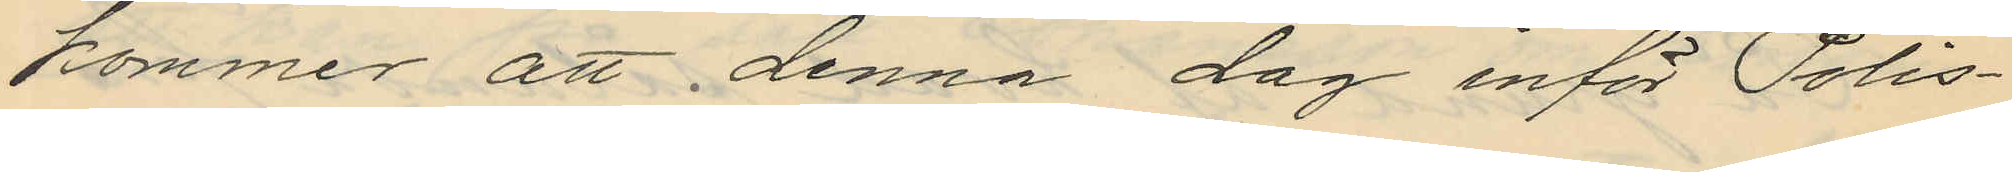kommer att denna dag inför Polis¬
